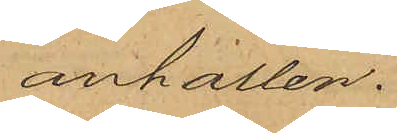anhållen.
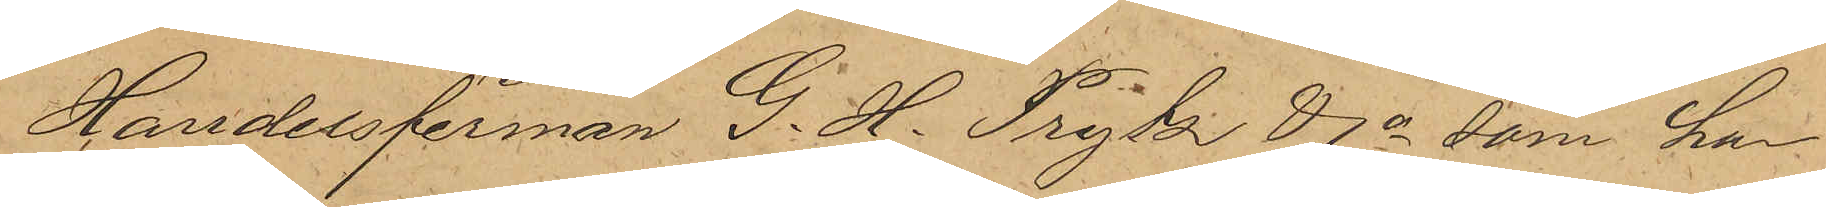Handelsfirman G. H. Prytz & Co som har
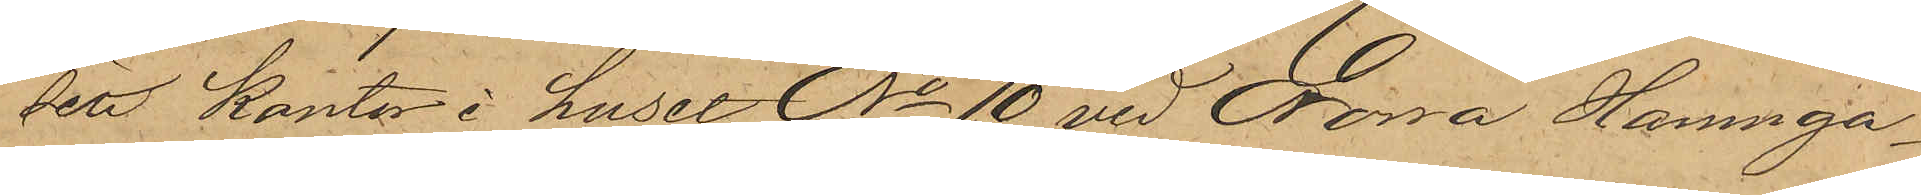sitt kontor i huset No 10 vid Norra Hamnga¬
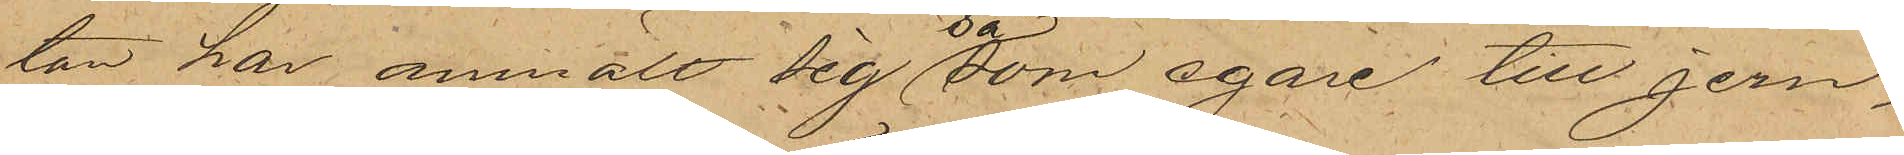tan har anmält sig såsom egare till jern¬
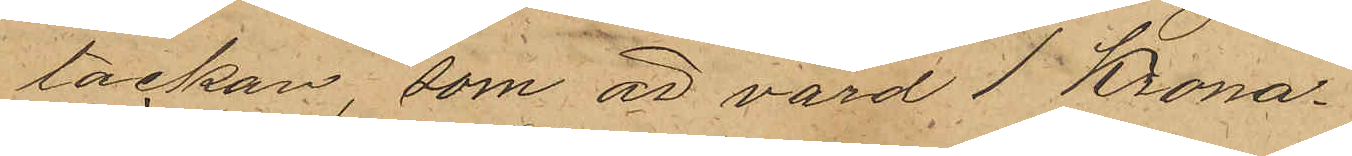tackan, som är värd 1 Krona.
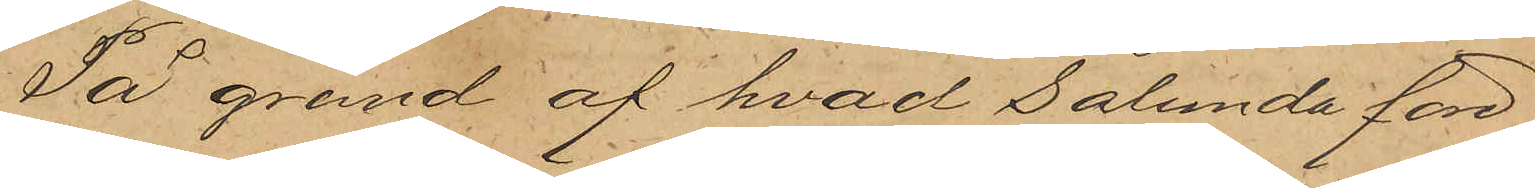På grund af hvad sålunda före¬
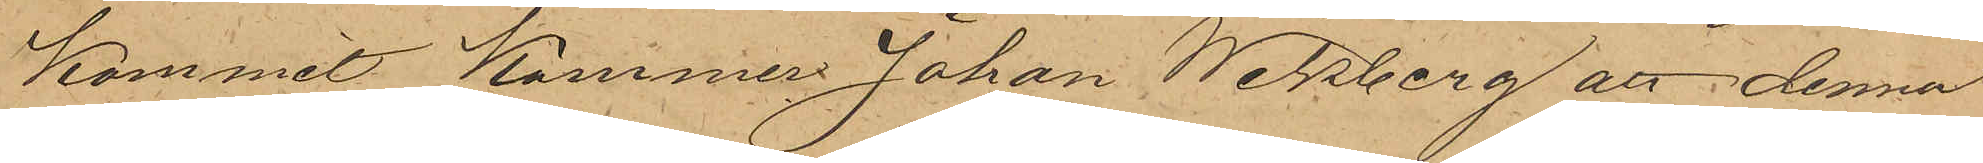kommit kommer Johan Wikberg att denna
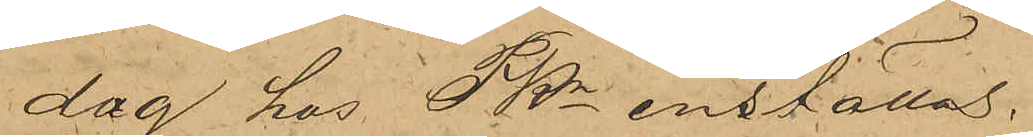dag hos Pkn inställas.
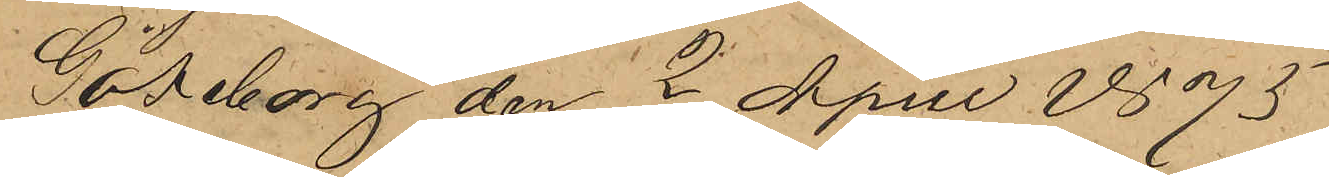Göteborg den 2 April 1875
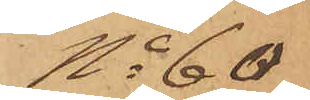No 60
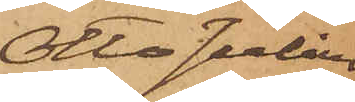Otto Julius
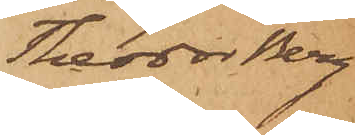Theodor Berg
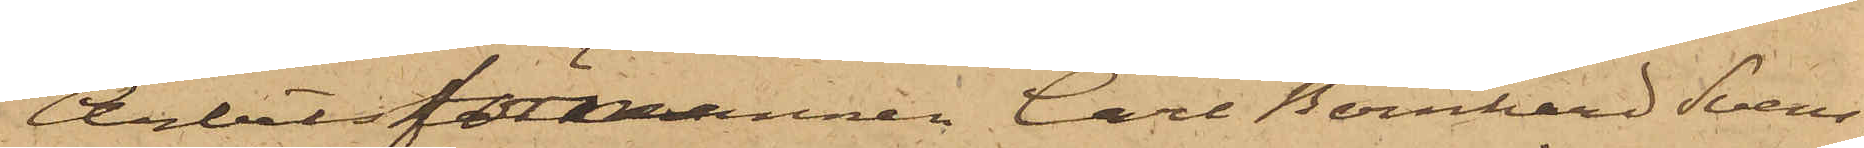Arbetsförmannen Carl Bernhard Svens¬
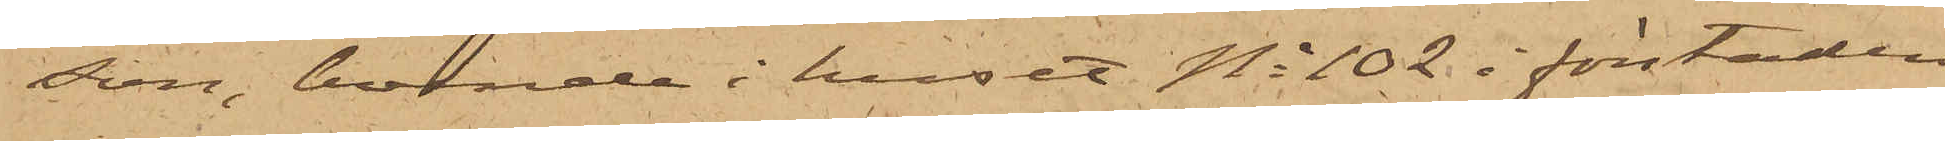son, boende i huset No 102 i förstaden
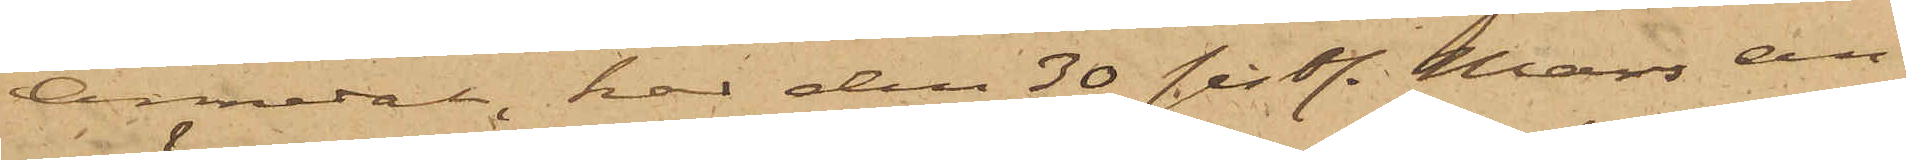Annedal, har den 30 sistl. Mars an¬
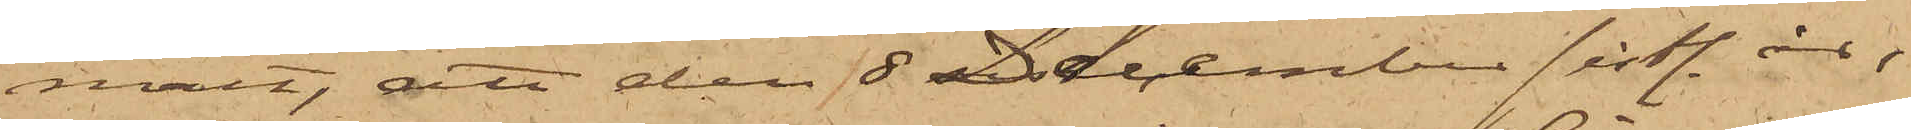mält, att den 8 December sistl. år,
